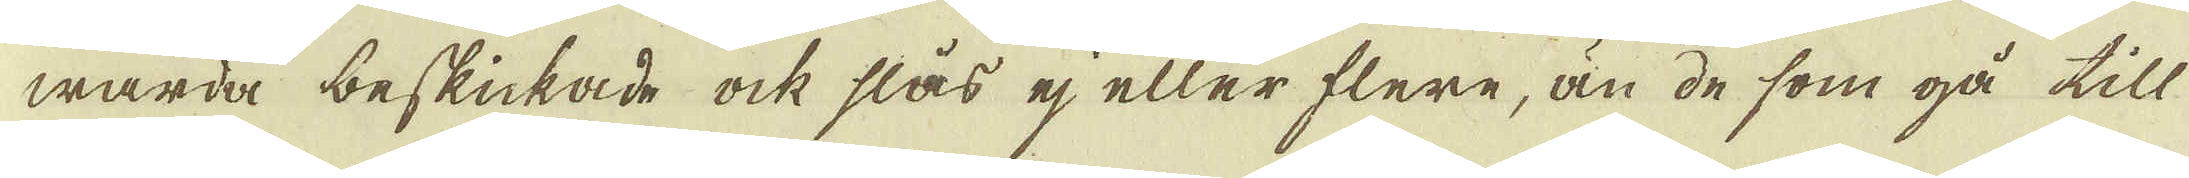warda beskickade ock slås ej eller flere, än de som gå till
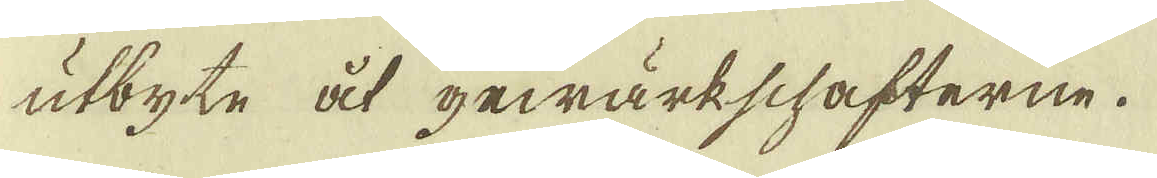utbyte åt gewärkschafterne.
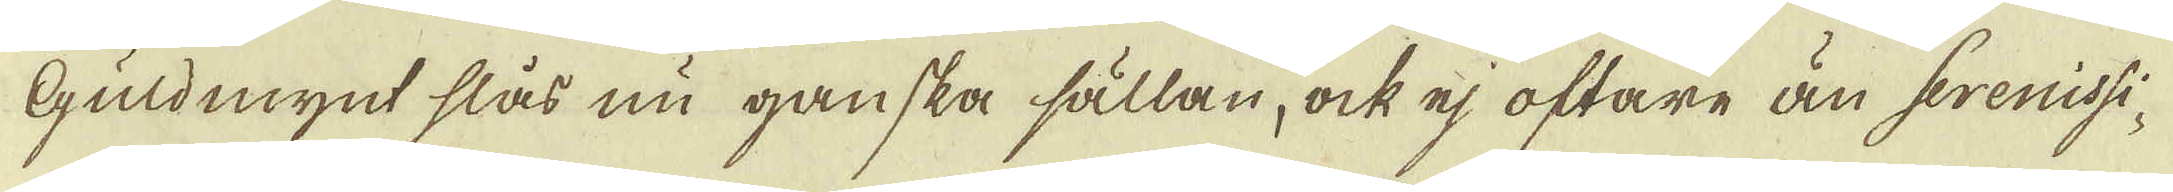Guldmynt slås nu ganska sällan, ock ej oftare än serenissi-
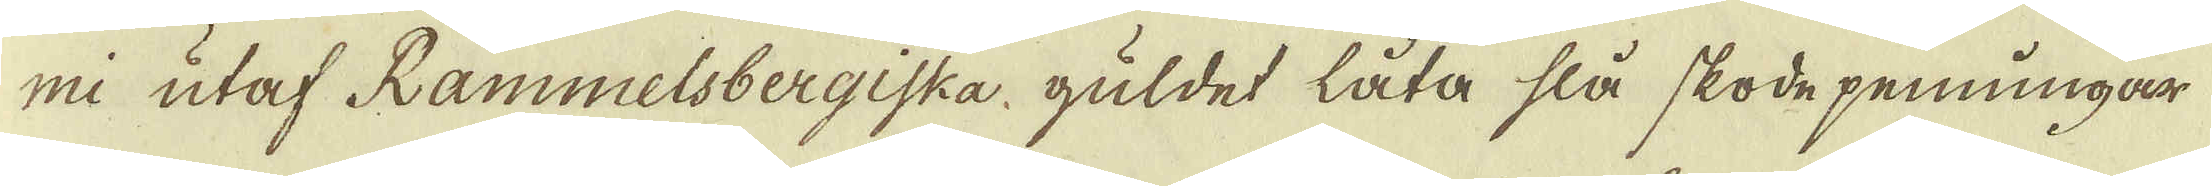mi utaf Rammelsbergiska guldet låta slå skode penningar
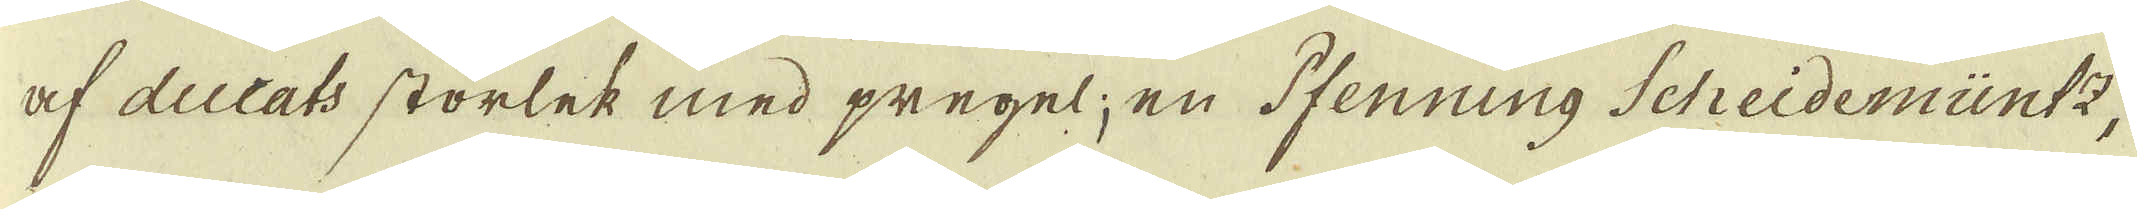af ducats storlek med pregel; en fenning Scheidemüntz,
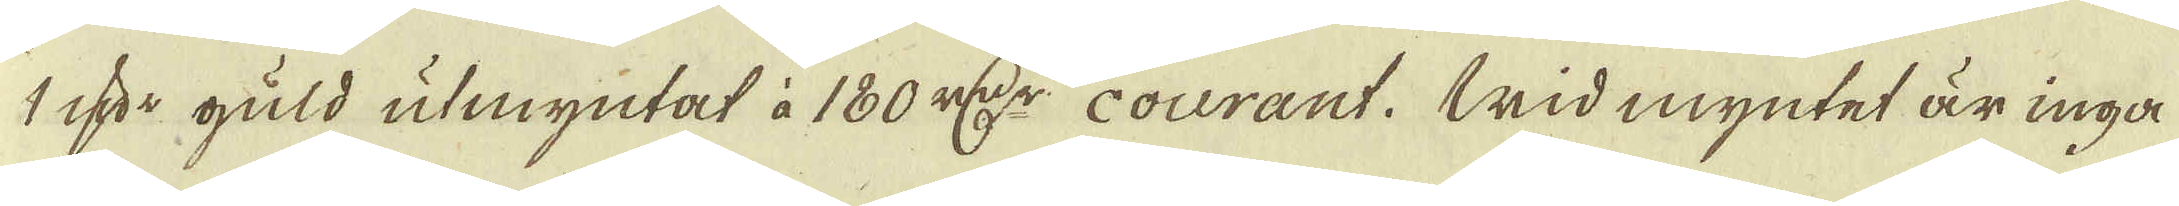1 qv:r guld utmyntat à 180 r:dr courant. Wid myntet är inga
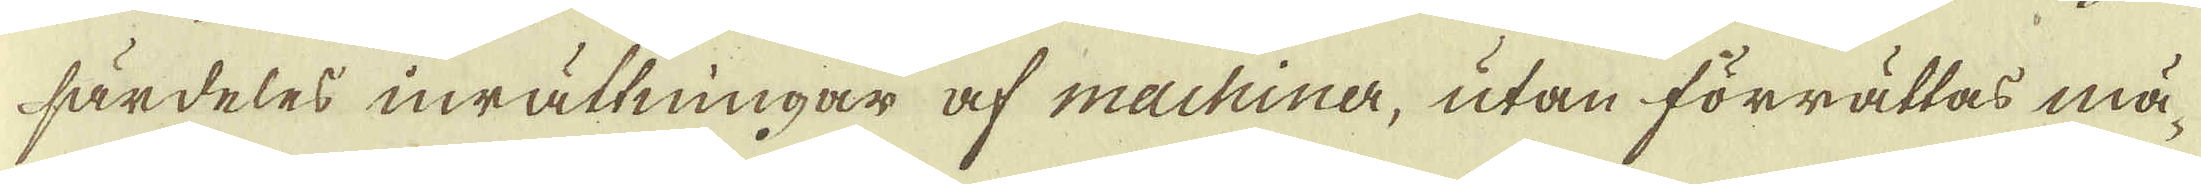särdeles inrättningar af machiner, utan förrättas mä-
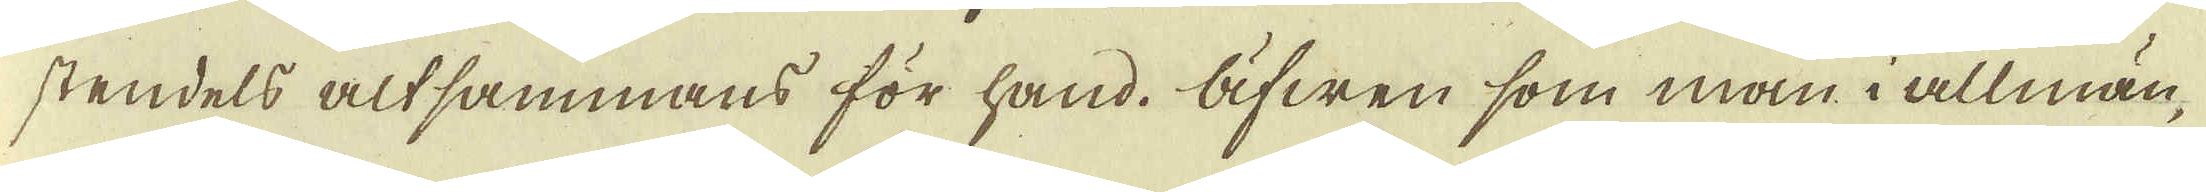stendels altsammans för hand. Äfwen som man i allmän-
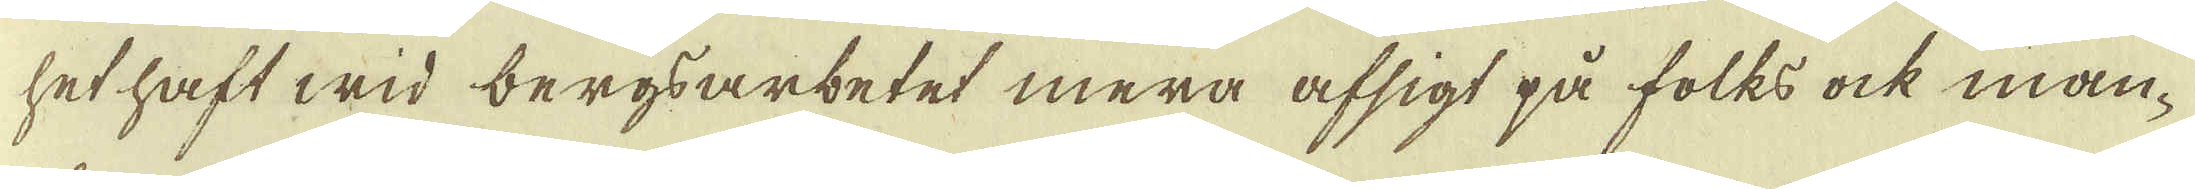het haft wid bergsarbetet mera afsigt på folks ock man-
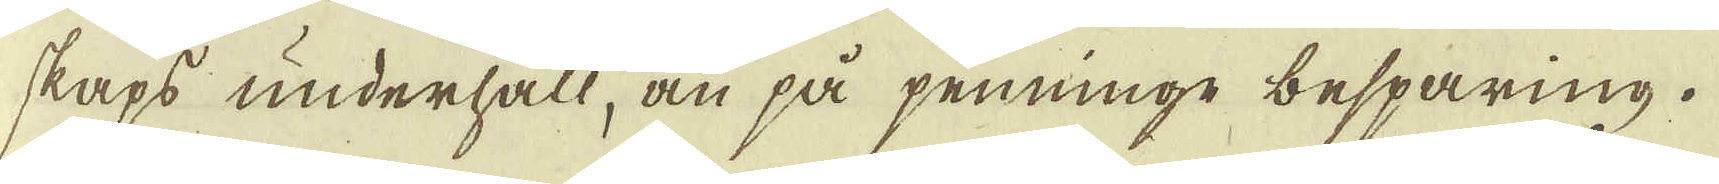skaps underhåll, än på penninge besparing.
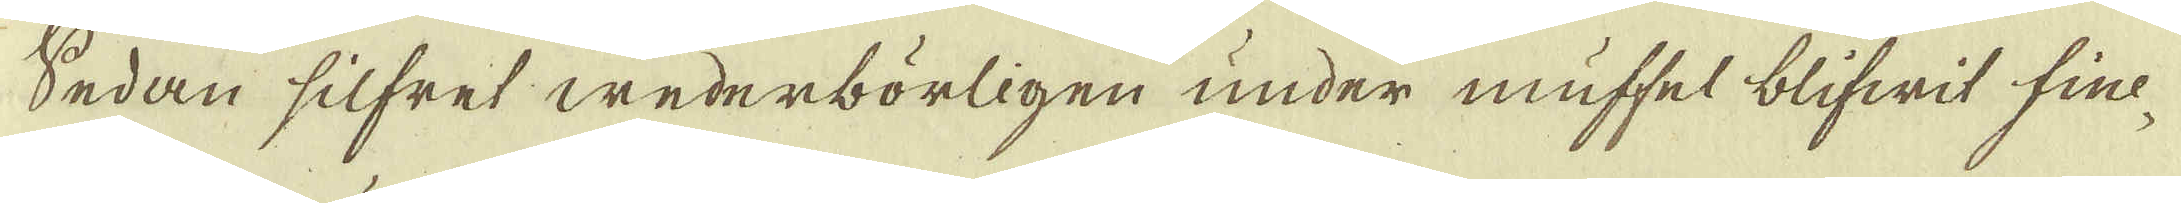Sedan silfret wederbörligen under muffel blifwit fine-
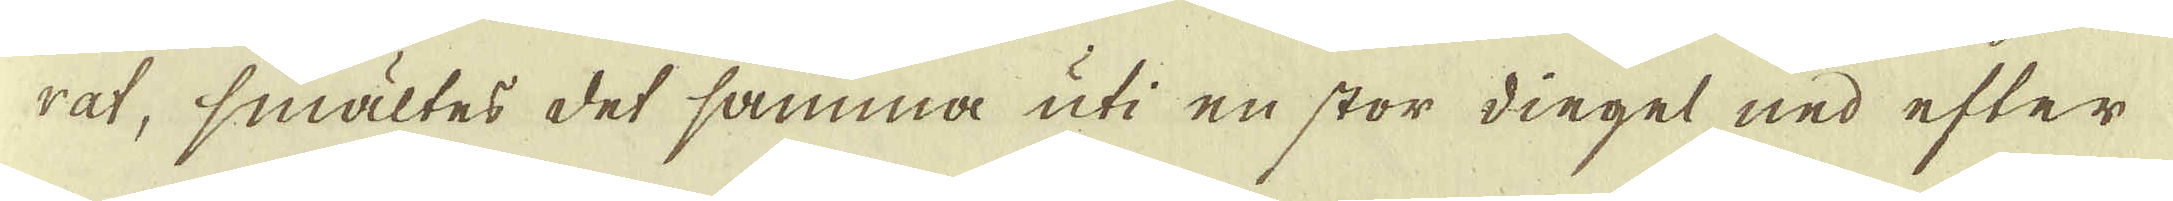rat, smältes det samma uti en stor diegel ned efter
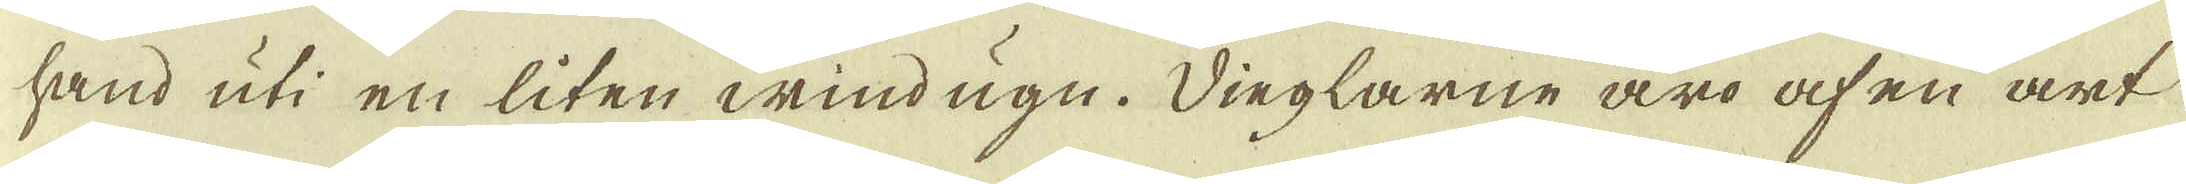hand uti en liten wind ugn. Dinglarne äro af en art
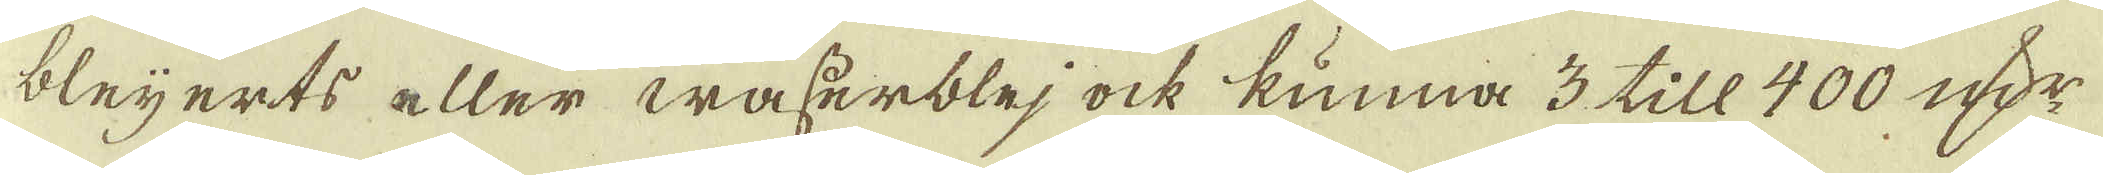bleijerts eller wasserblej ock kunna 3 till 400 qvr
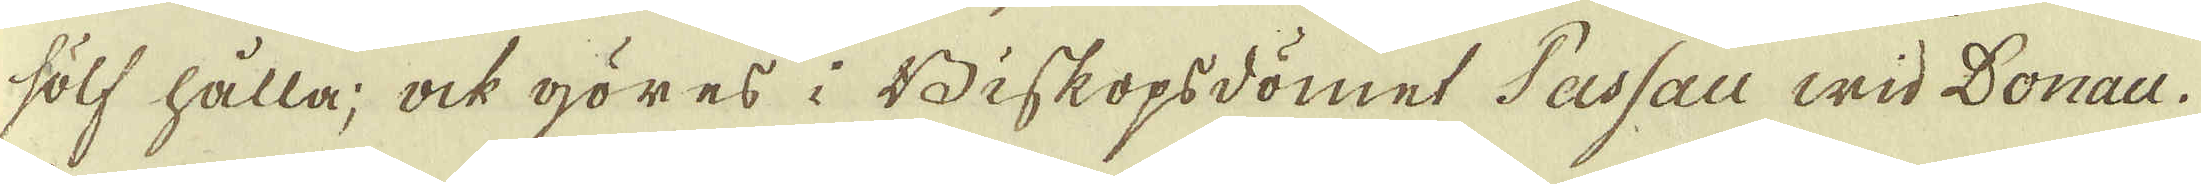sölf hålla, ock göres i Biskopsdömet Tassau wid Donau.
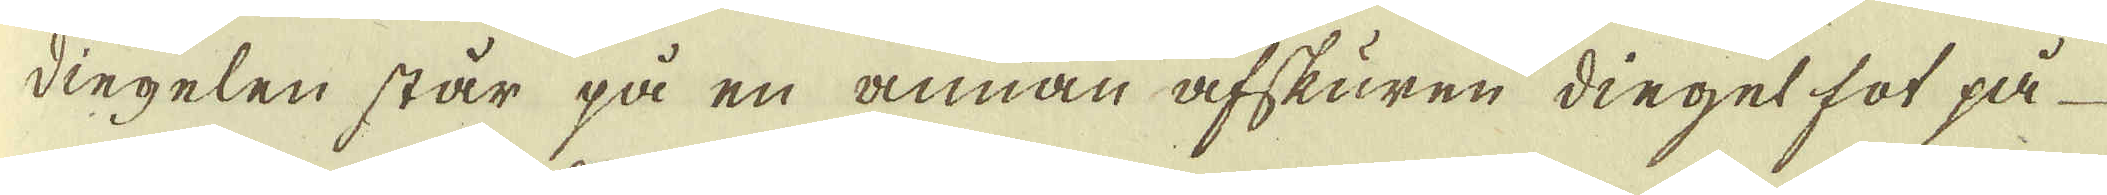dingelen står på en annan afskuren diegel fot på
